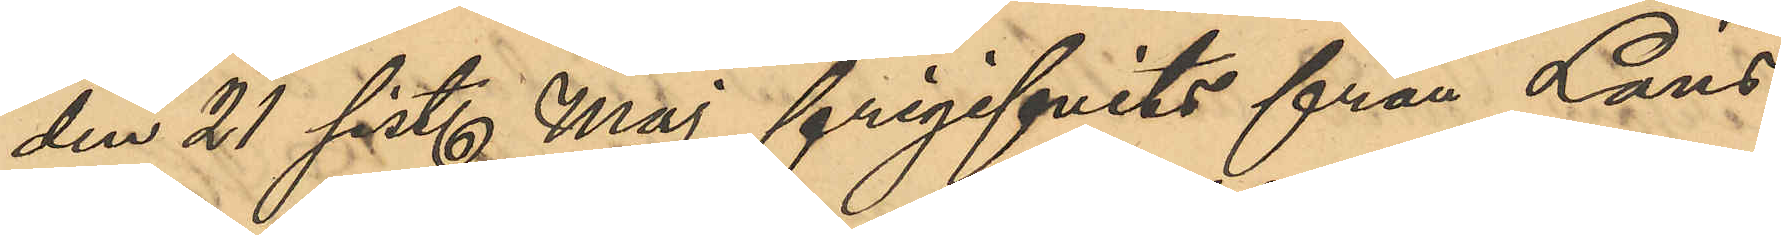den 21 sist. Maj frigifvits från Läns¬
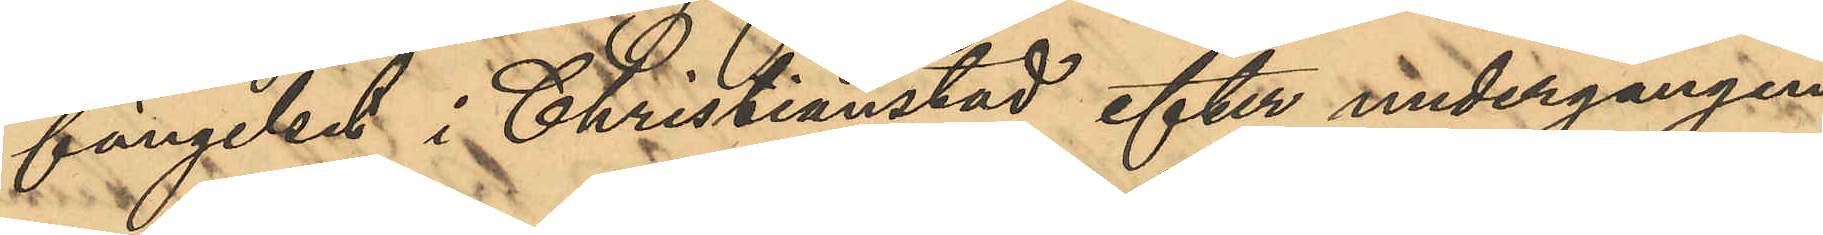fängelset i Christianstad efter undergången
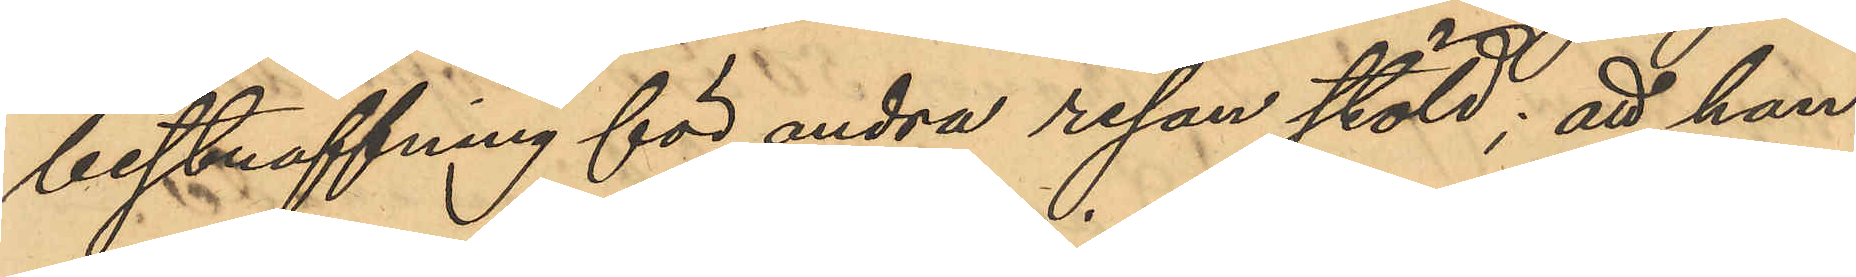bestraffning för andra resan stöld; att han
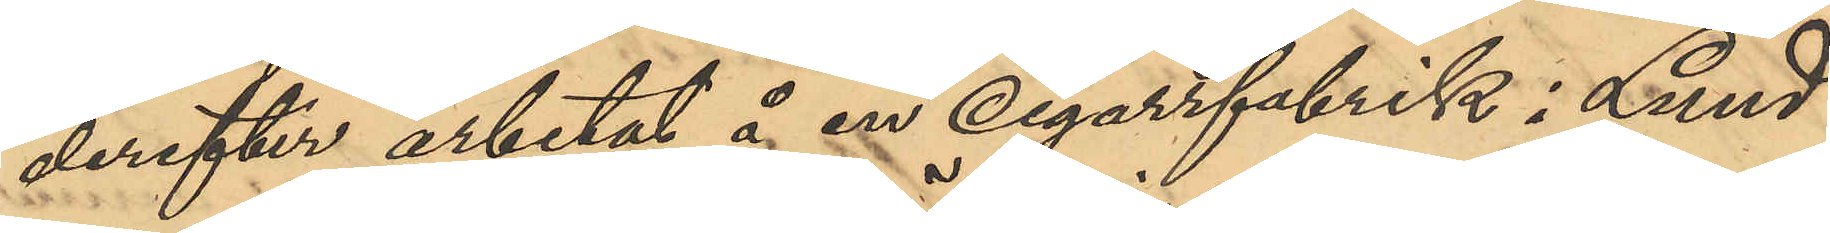derefter arbetat å en Cigarrfabrik i Lund
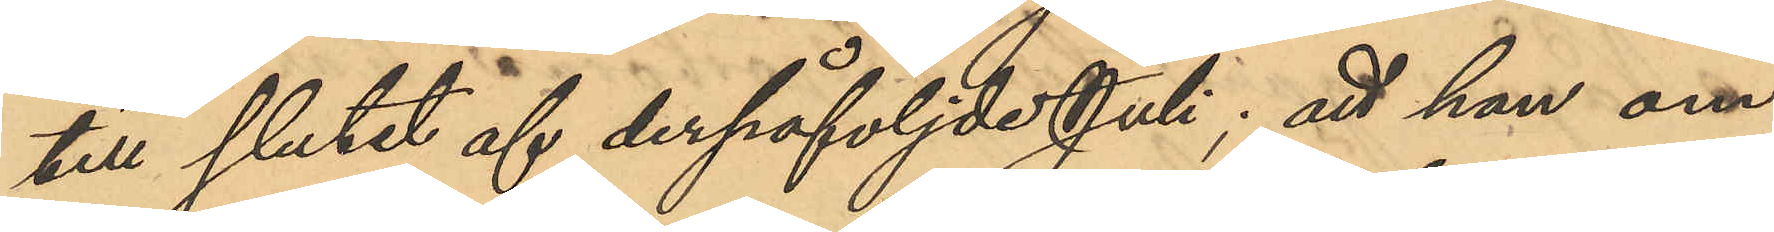till slutet af derpåföljde Juli; att han om¬
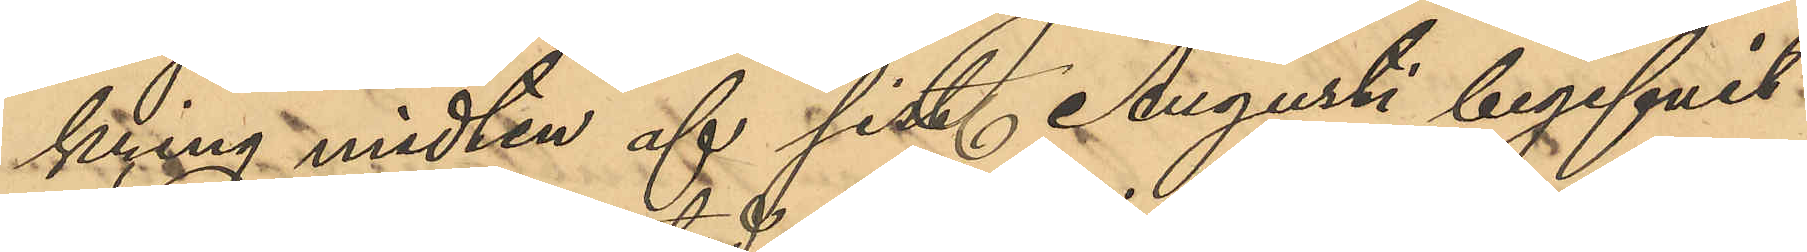kring midten af sist. Augusti begifvit
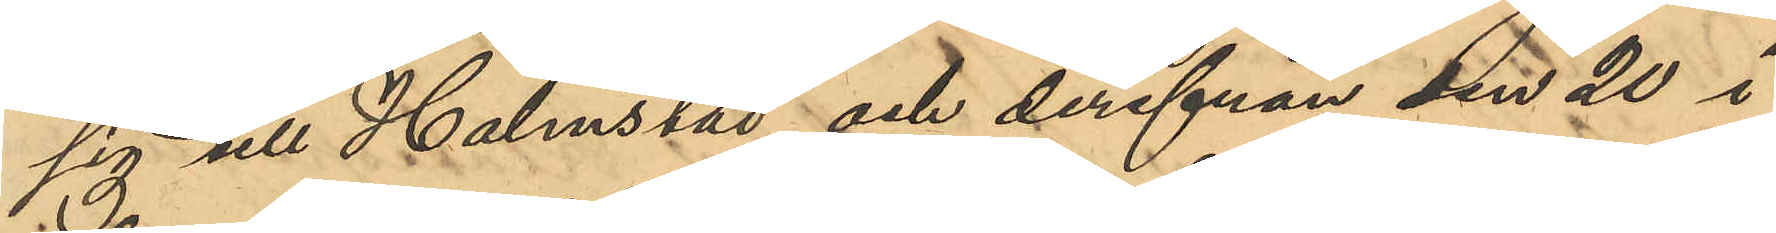sig till Halmstad och derifrån den 20 i
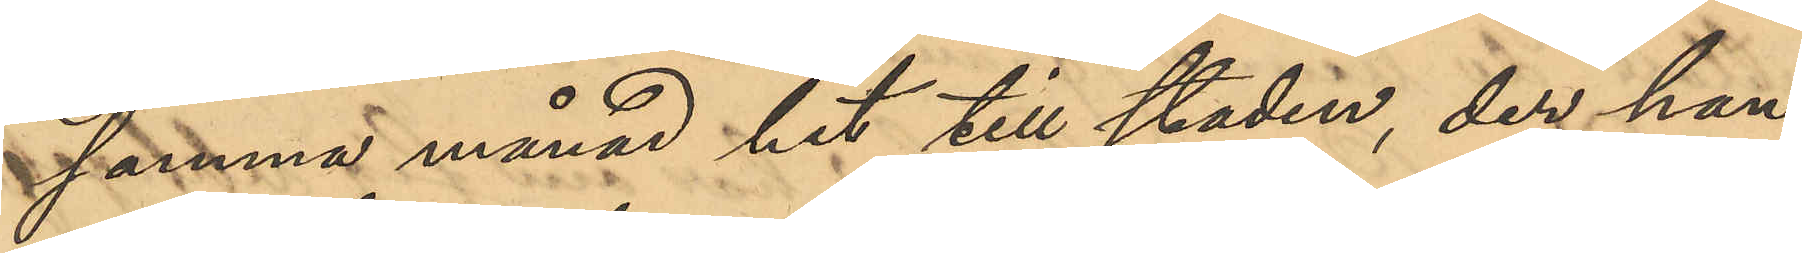samma månad hit till staden, der han
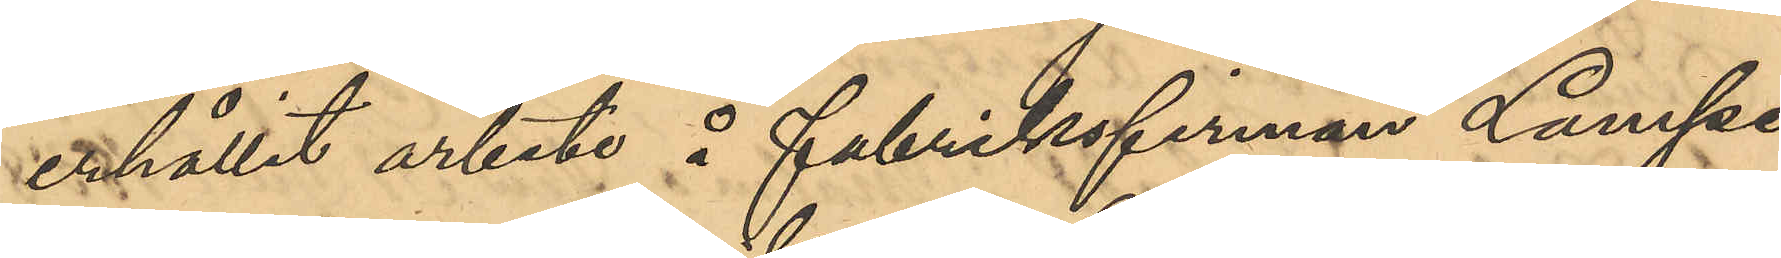erhållit arbete å fabriksfirman Lampe
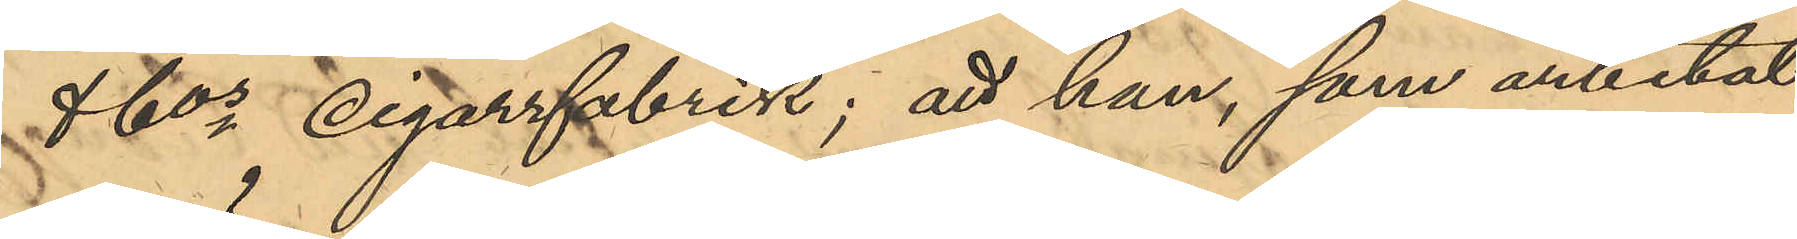& Cos cigarrfabrik; att han, som arbetat
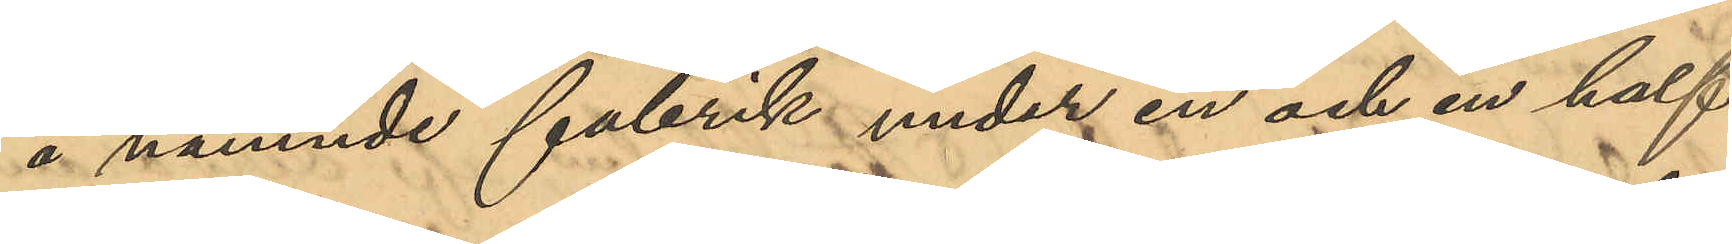å nämnde fabrik under en och en half
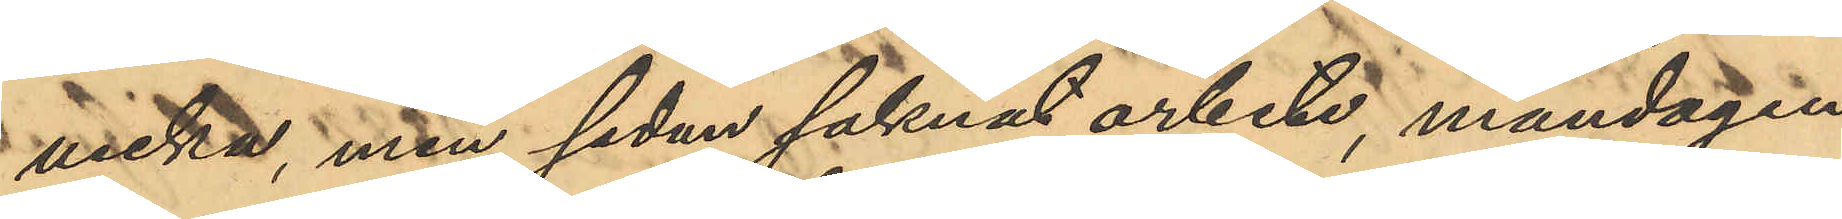vecka, men sedan saknat arbete, måndagen
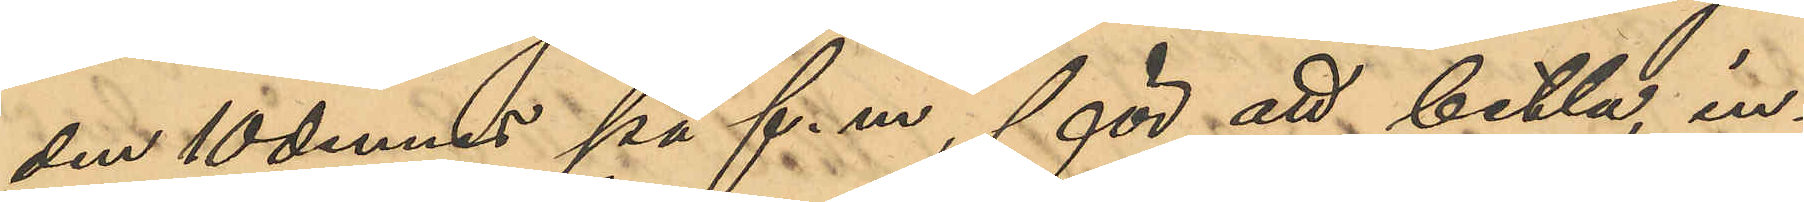den 10 dennes på f. m., för att betla, in¬
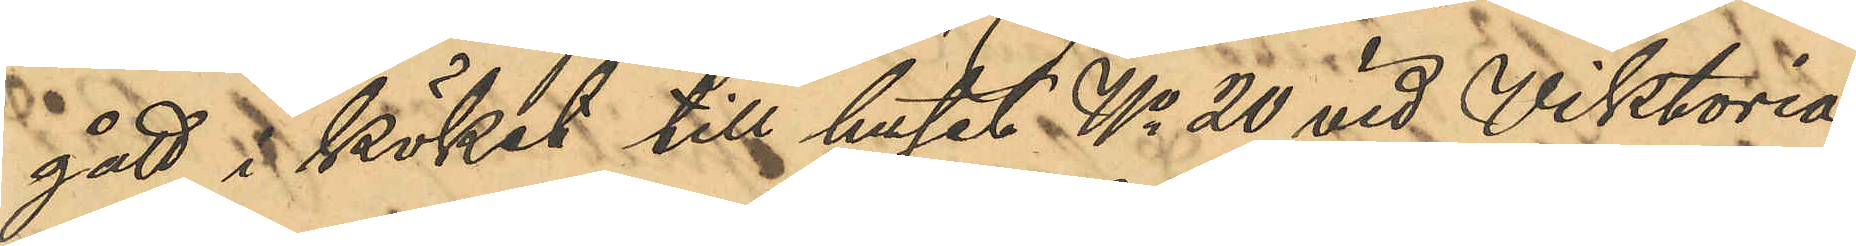gått i köket till huset No 20 vid Viktoria¬
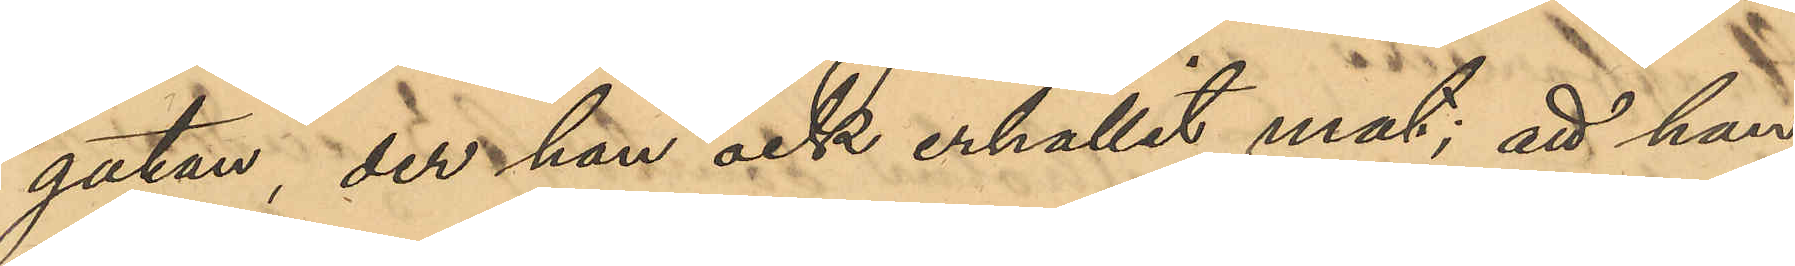gatan, der han ock erhållit mat; att han 
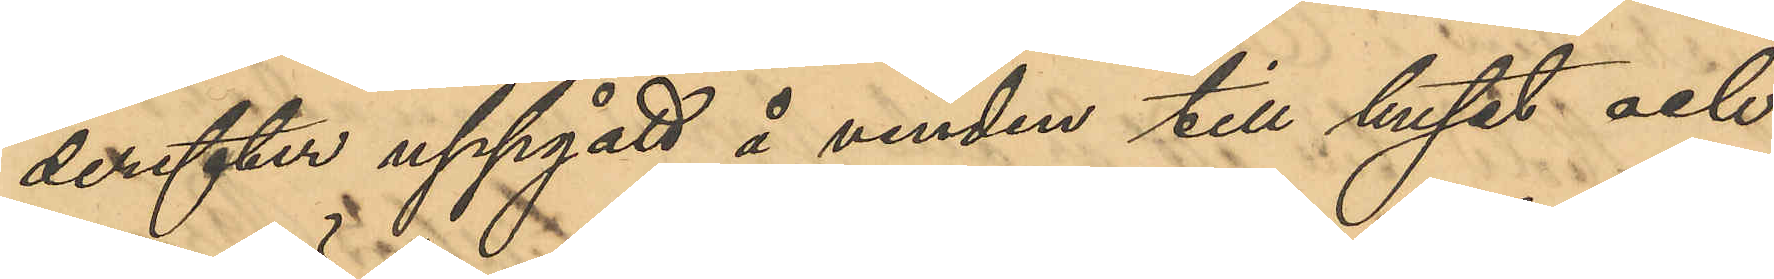derefter uppgått å vinden till huset och
